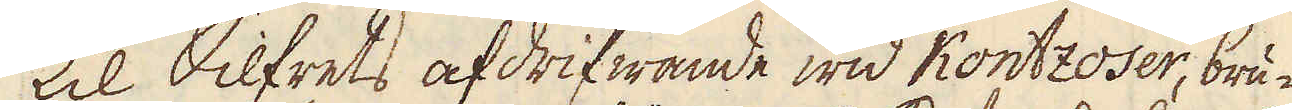Til Silfrets afdrifwande wid Kontzoser, bru-
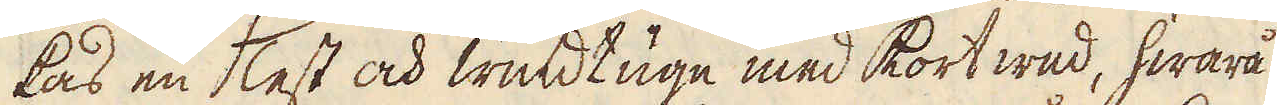kas en Test och windtugn med kortwed, hwarå
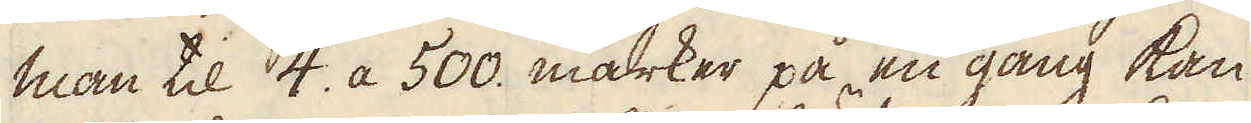man til 4. a 500. marker på en gång kan
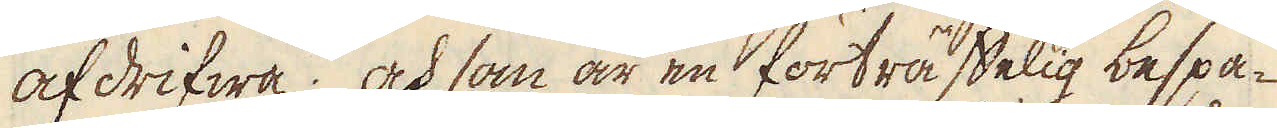afdrifwa; och som är en förträffelig bespa-
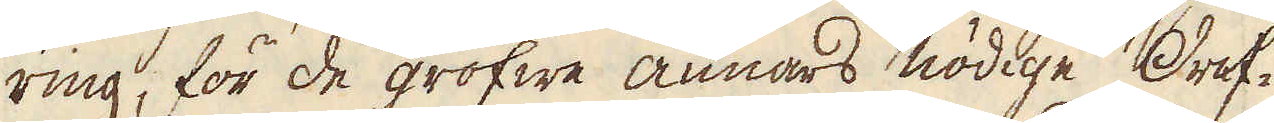ring, för de grofwe annars nödige Dref-
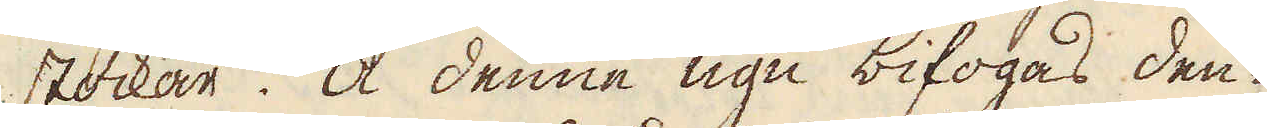stockar. Å denne ugn bifogas den-
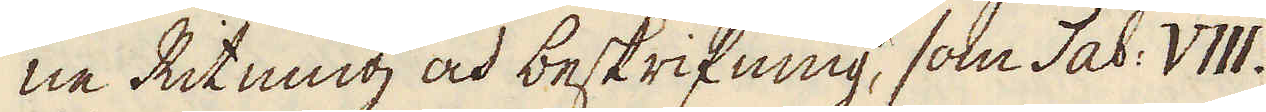ne Ritning och beskrifning, som Tab: VIII.
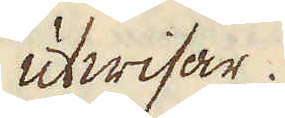utwisar.
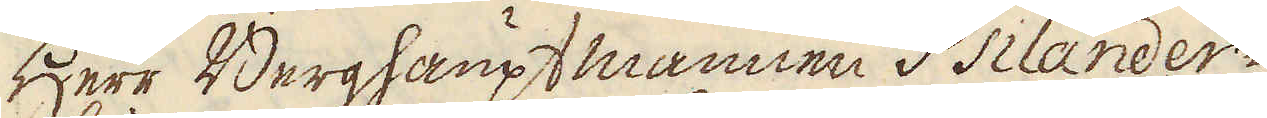Herr Berghaupt mannen i Psilander-
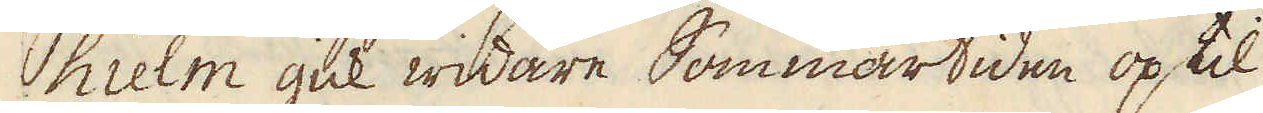hielm gick widare Sommartiden op til
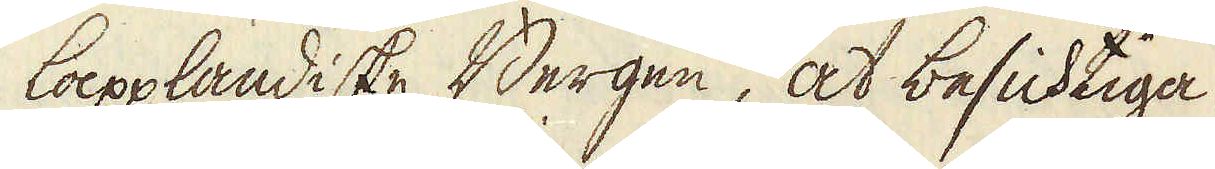lappländiske Bergen, at besichtiga
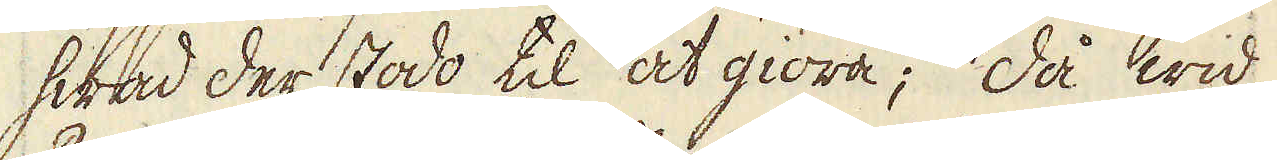hwad der stodo til at giöra; då wid
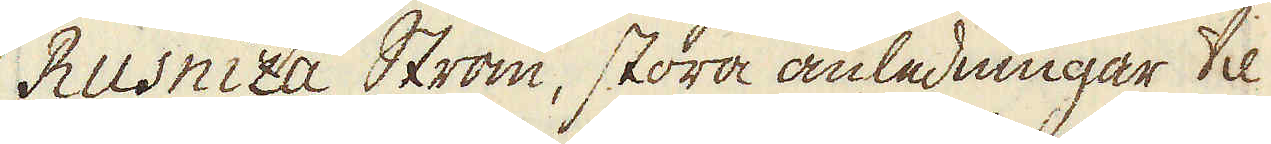Rusniza Ström, stora anledningar til
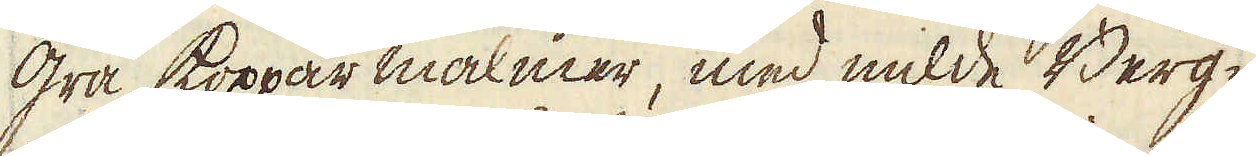grå koppar malmer, med milde Berg-
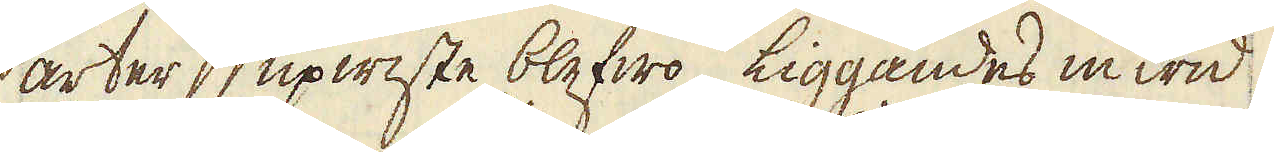arter upwiste blefwo, liggandes inwid
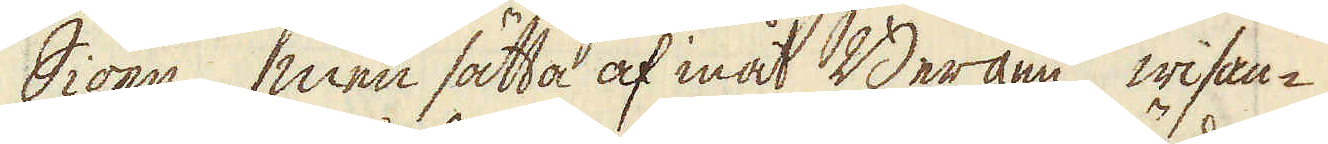Siöen, men sätta af inåt Bergen, wisan-
